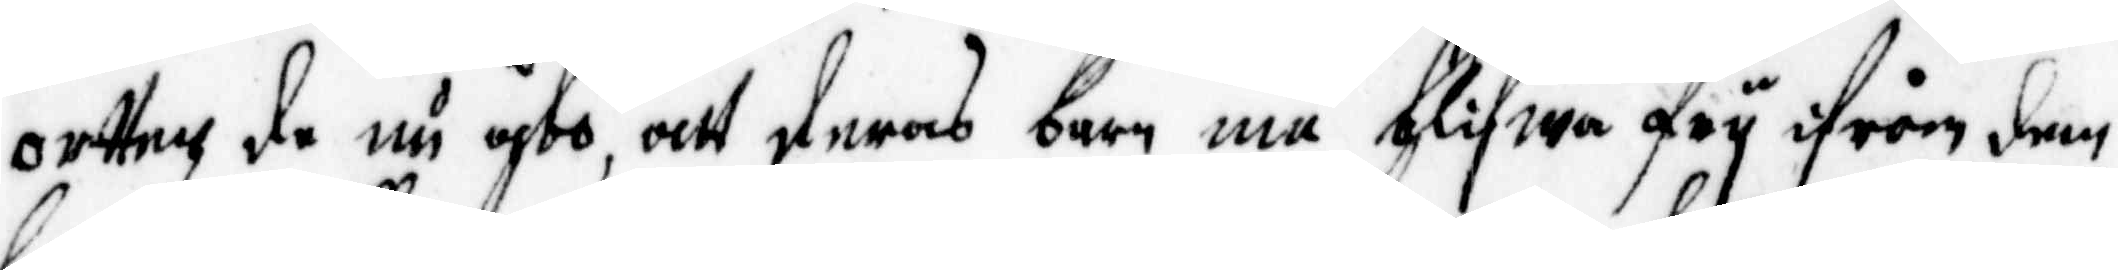ortten de nu åbo, att deras barn må blifwa fry ifrån dem
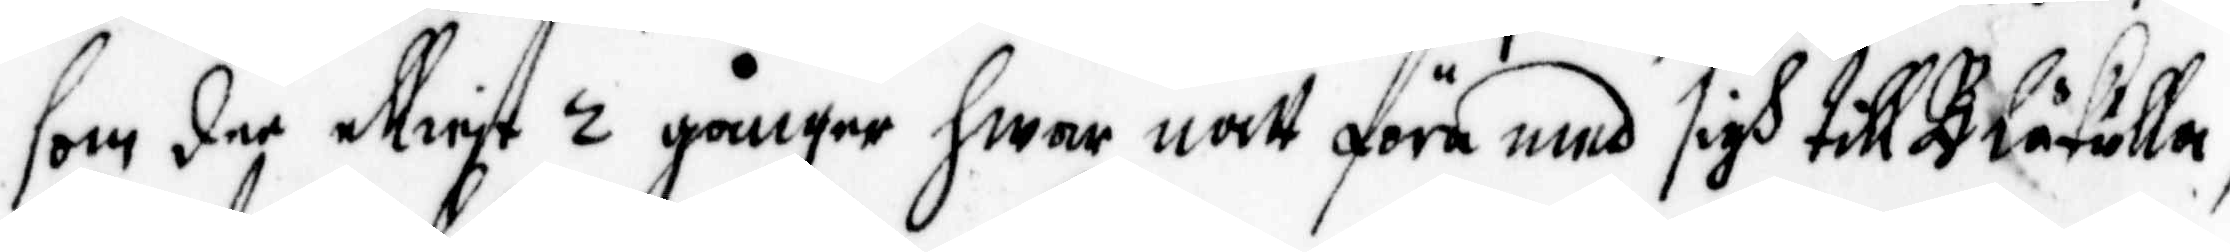som de elliest 2 gånger hwar natt föra med sigh till Blåkulla,
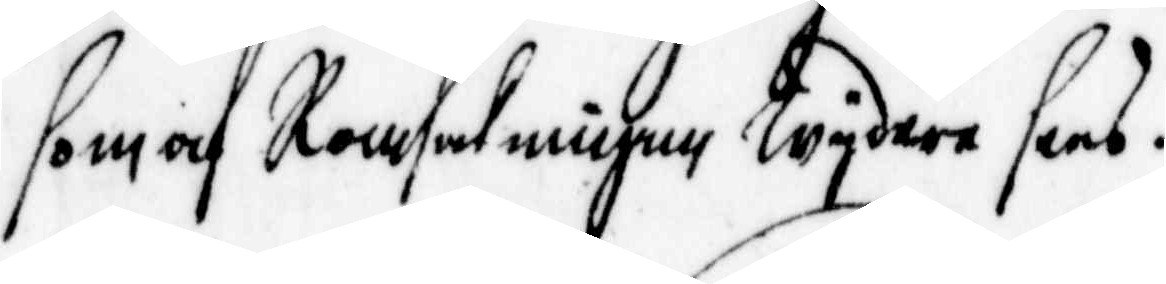som af Ransakningen wydare sees.
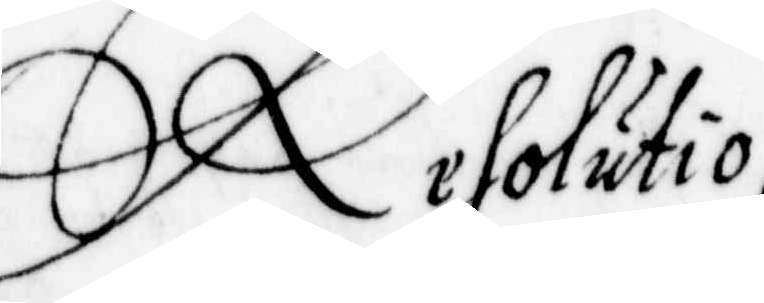Resolutio,
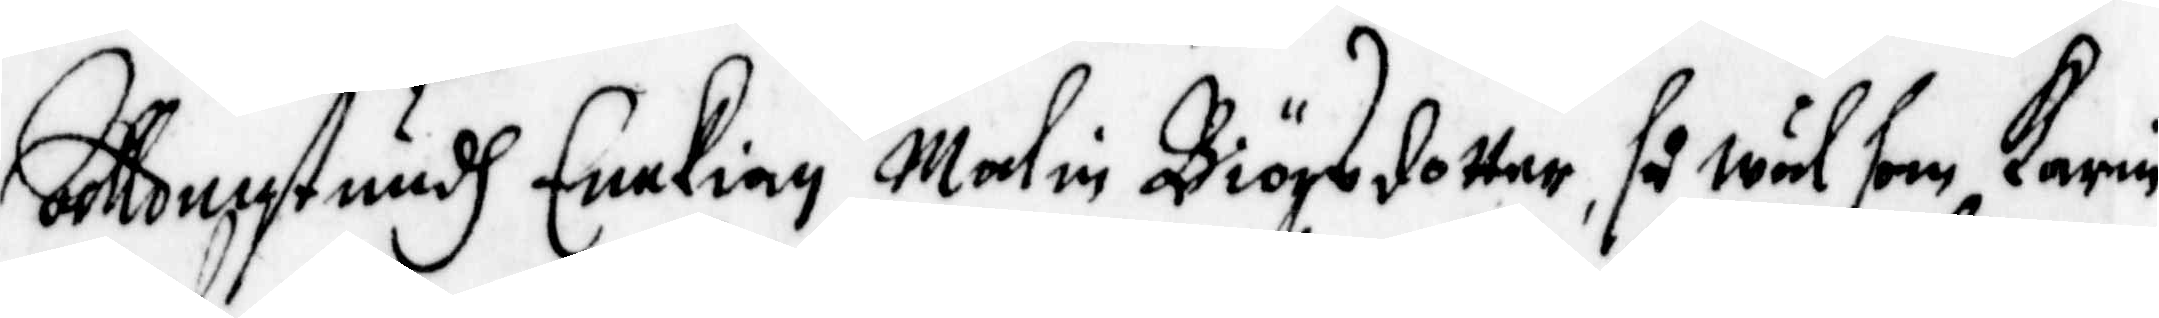Alldenstundh Eenkian Malin Biörsdotter, så wäl som karin
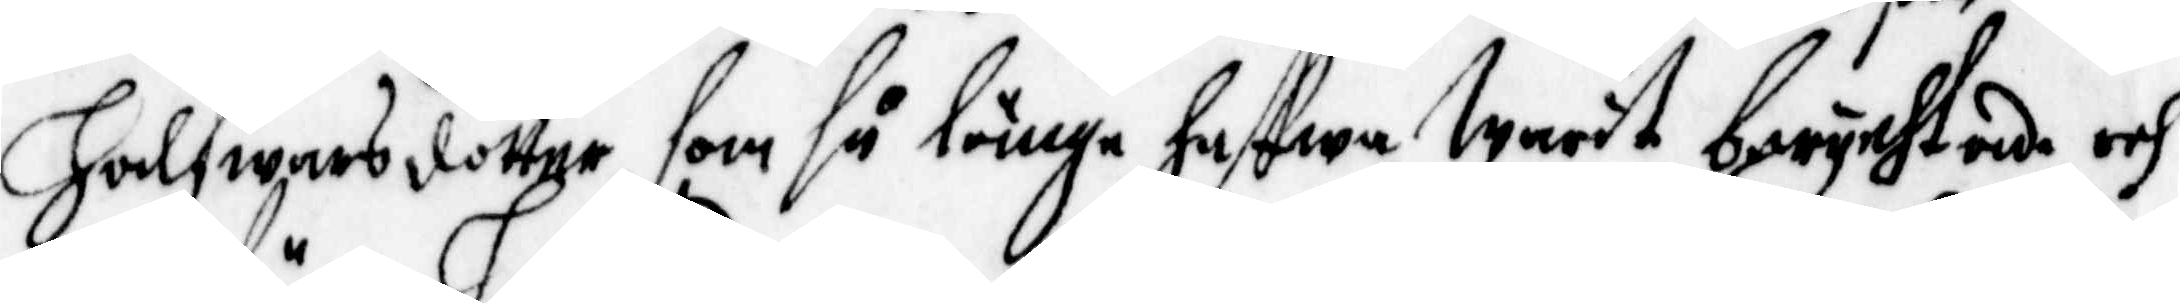Halfwarsdotter, som så länge hafwa warit berychtade, och
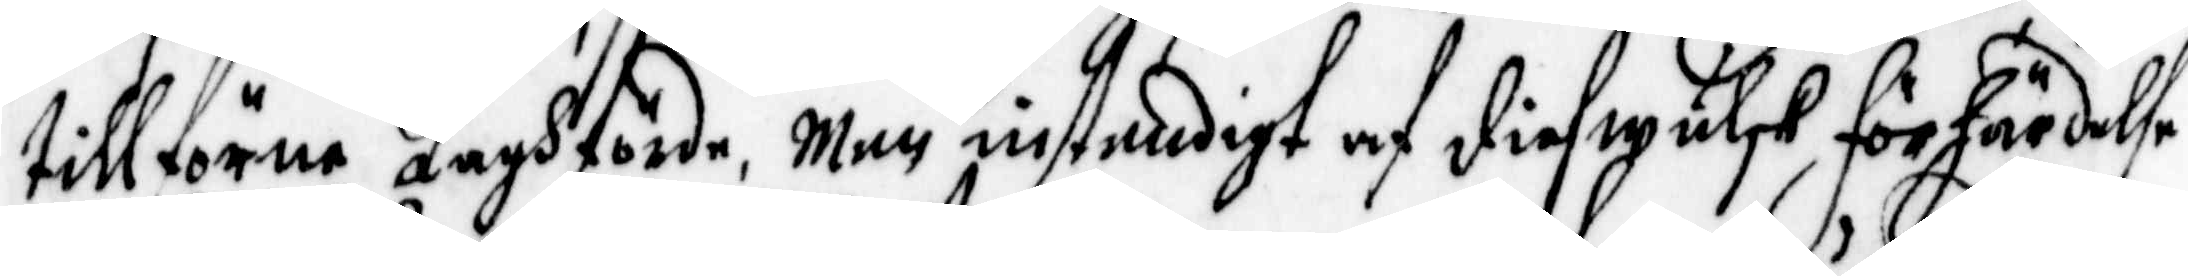tillförne Laghförde, men enstendigt af diefwulsk förhärdelse
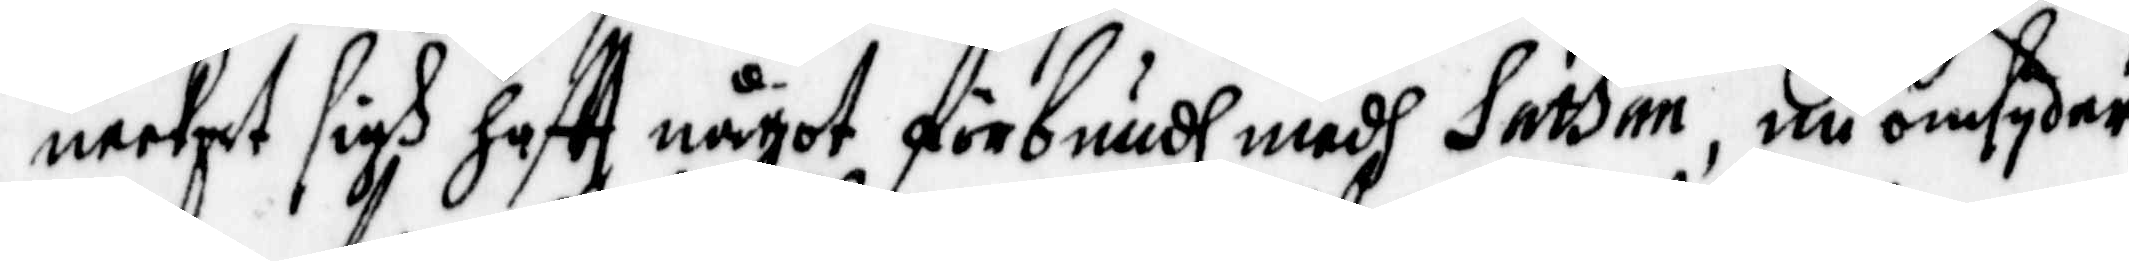neekat sigh hafft något förbundh medh Sathan, nu omsyder
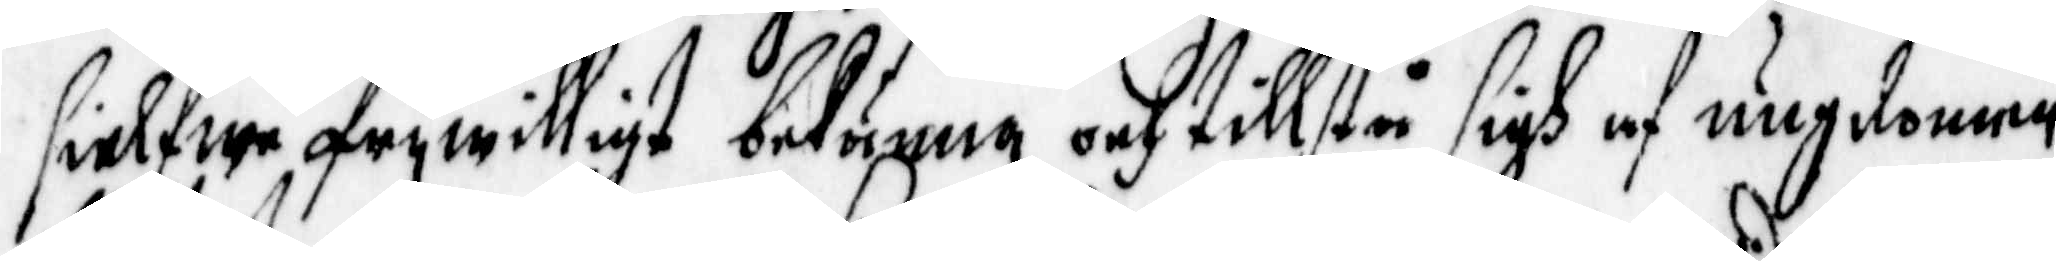sielfwe frywilligt bekänna och tillstå sigh af ungdomme
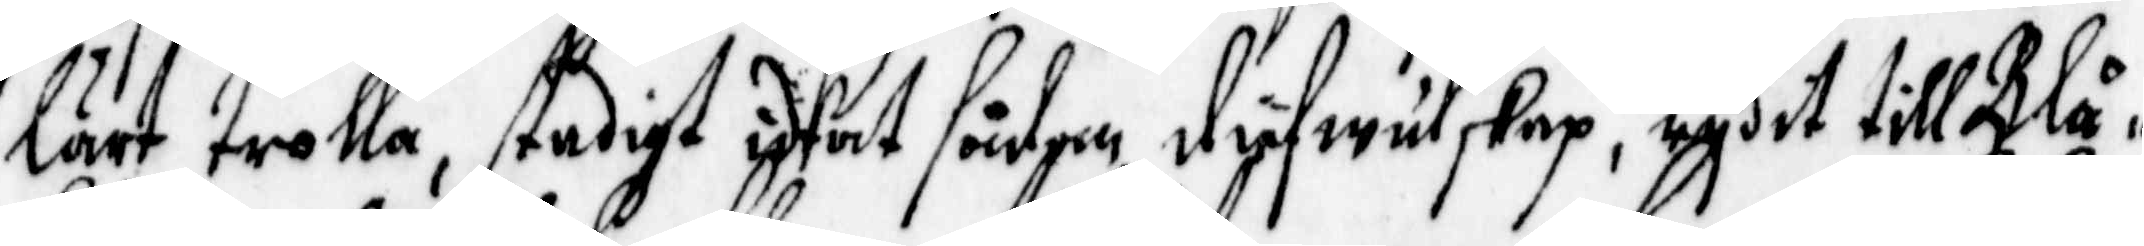lärt trolla, stadigt idkat sådane siefwulskap, rydit till Blå¬
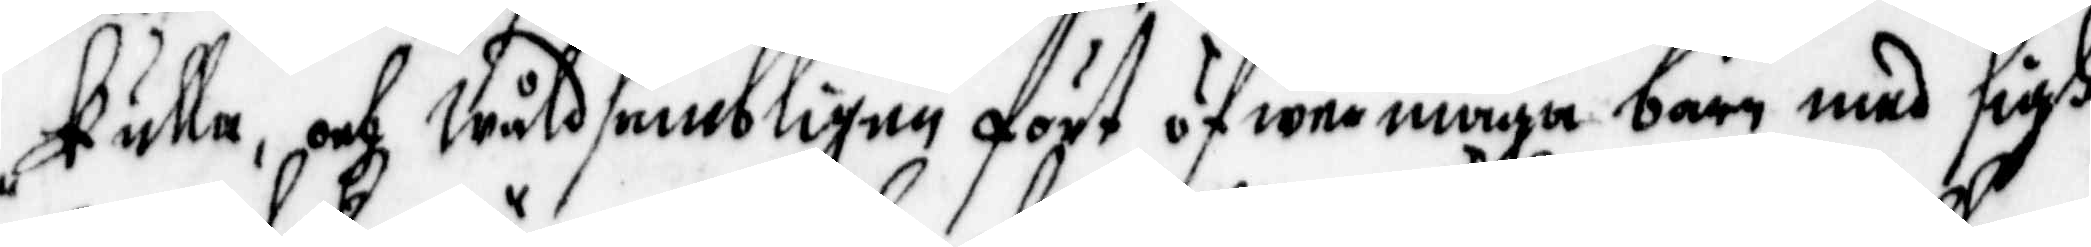kulla, och Wåldsambligen fört öfwermaga barn med sigh
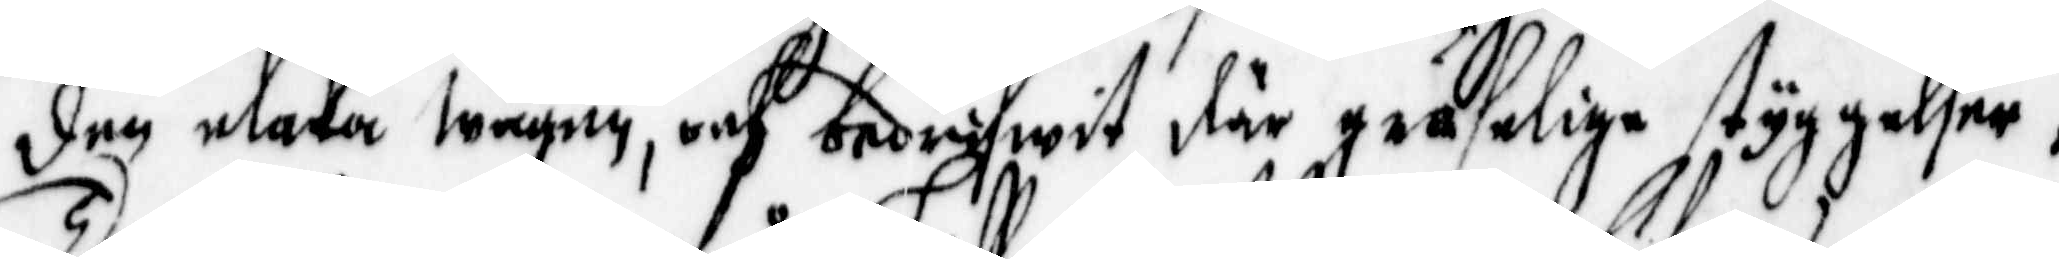den elaka wägen, och bedrifwit där gräselige styggelser;
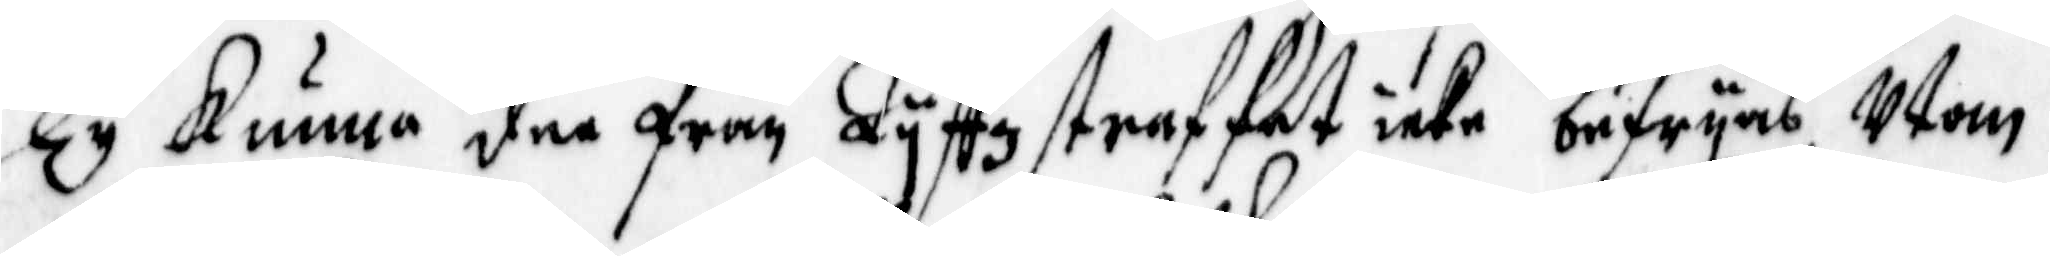Ty kunna den från Lyffzstraffet icke befryas, Utom
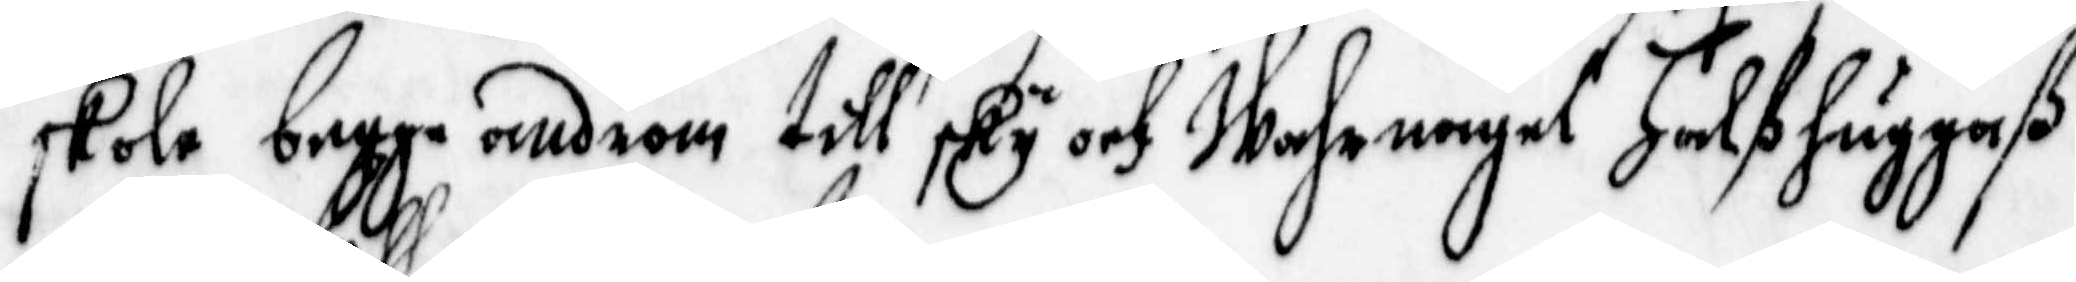skole begge androm till sky och wahrnagel Halßhuggaß
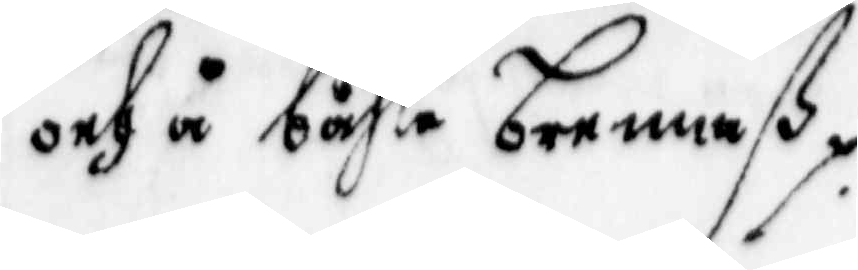och å båhle brennaß.
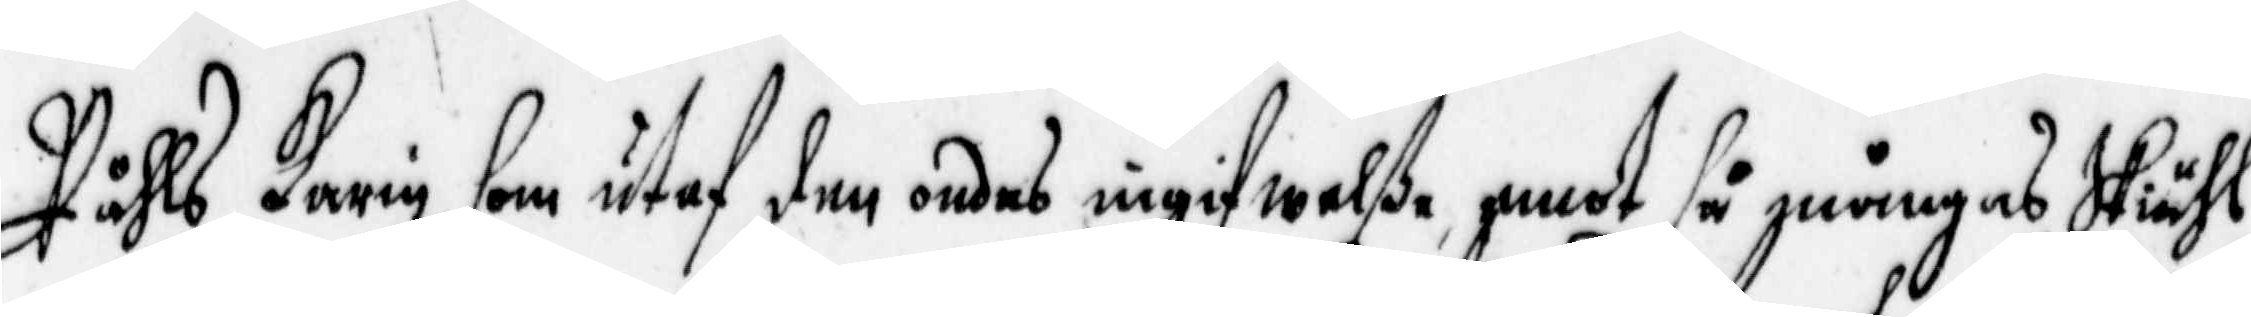Påhls Karin, som utaf den ondes ingigwelße emot så mångas skiähl
